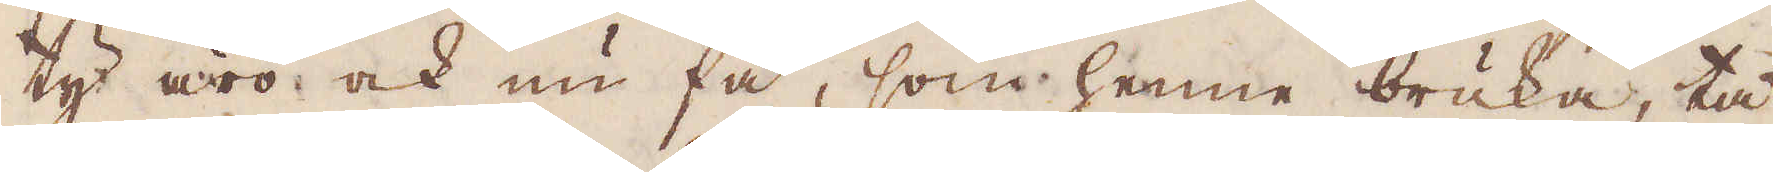ty äro ock nu få, som henne bruka, tå
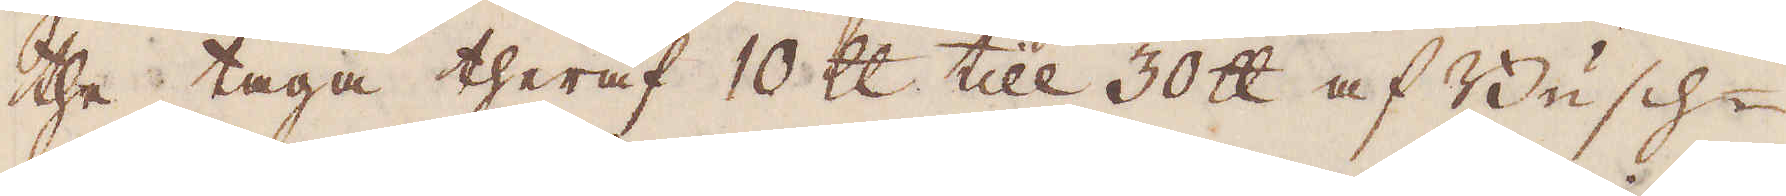the taga theraf 10 skålpund till 30 skålpund af Busch-
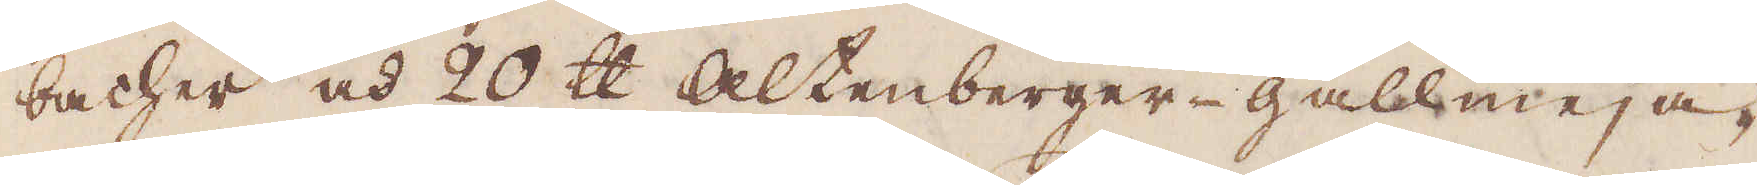bacher och 20 skålpund Altenberger-gallmeja,
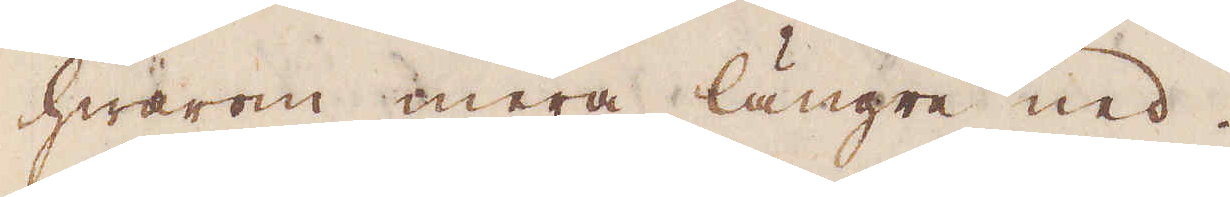hwarom mera längre ned.
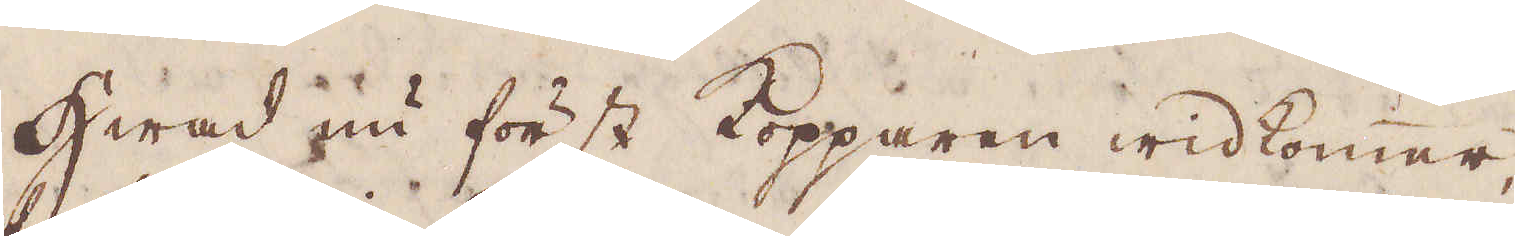Hwad nu först Kopparen widkomer,
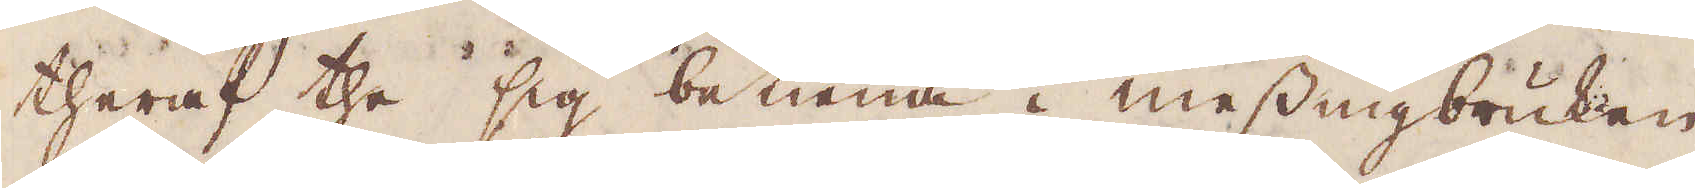theraf the sig betiena i messingbruken,
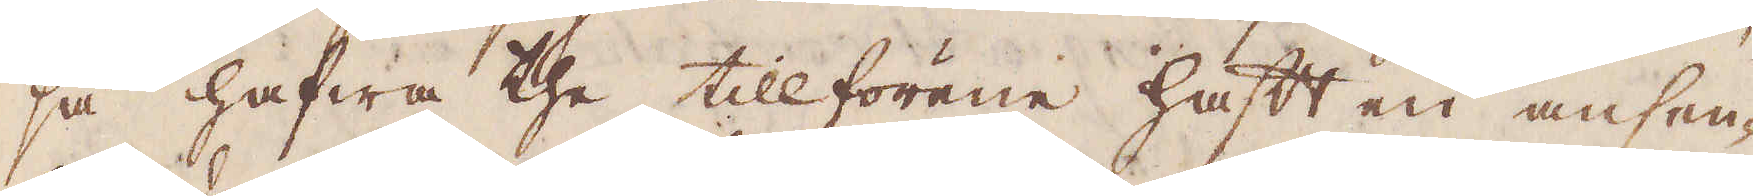så hafwa the tillförene haft en ansen-
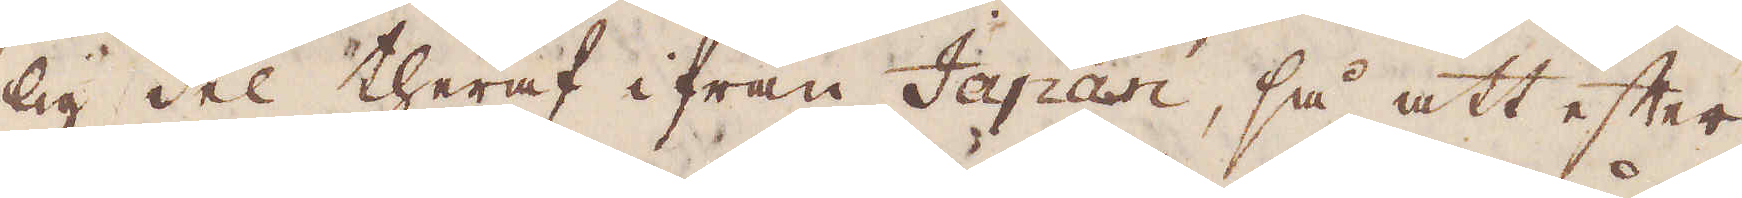lig del theraf ifrån Japan, så att efter
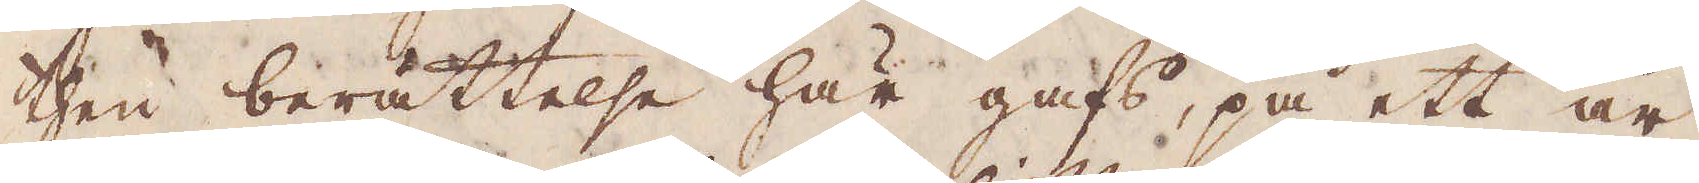then berättelse här gafs, på ett år,
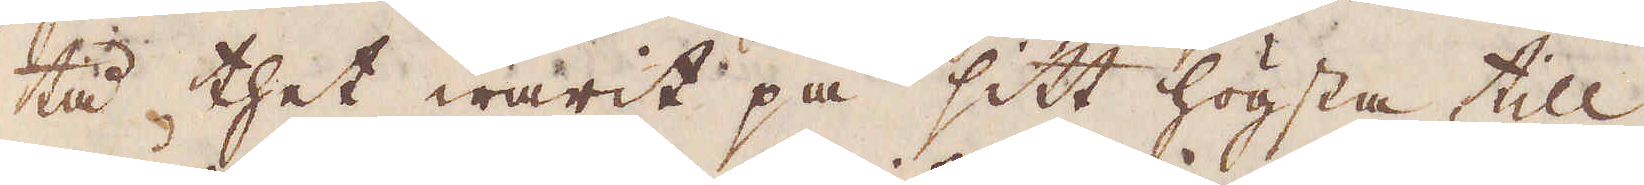tå thet warit på sitt högsta till
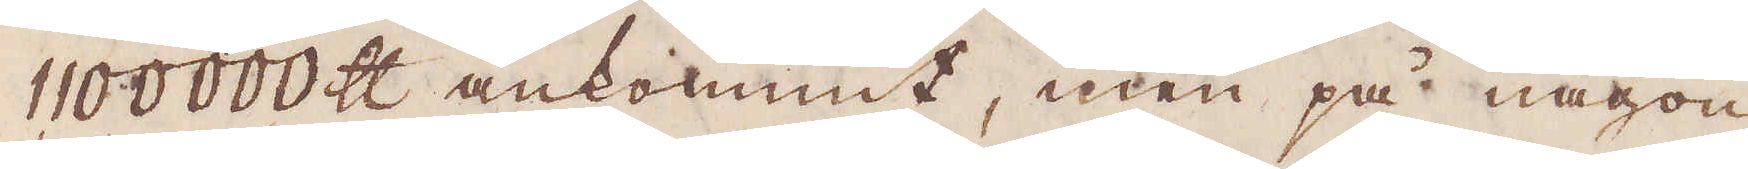1100000 skålpund ankommit, men på någon
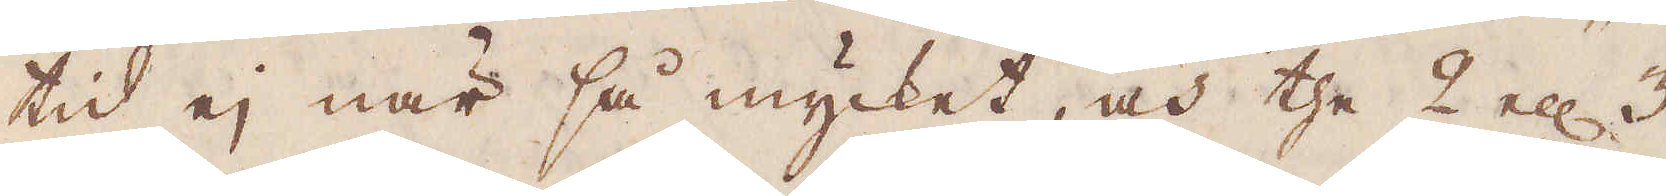tid ej när så mycket, och the 2 ell: 3
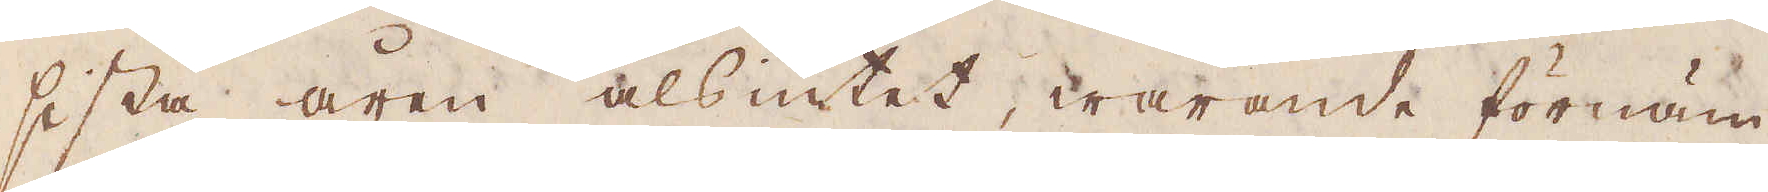sista åren alsintet, warande förnäm-
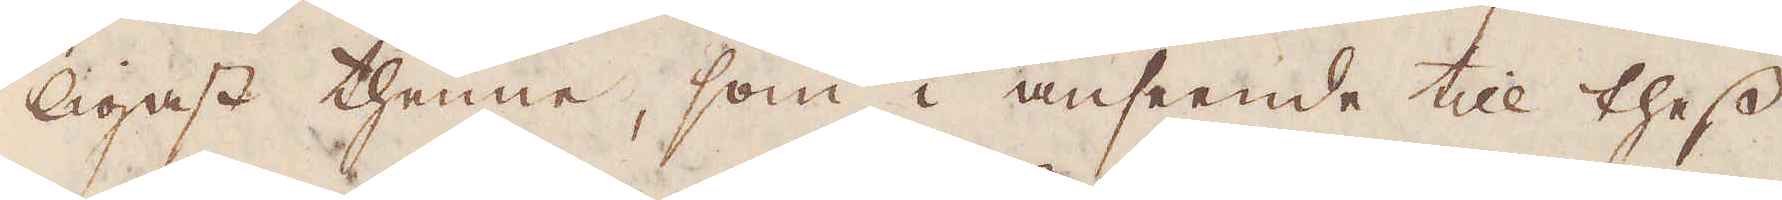ligast thenne, som i anseende till thess
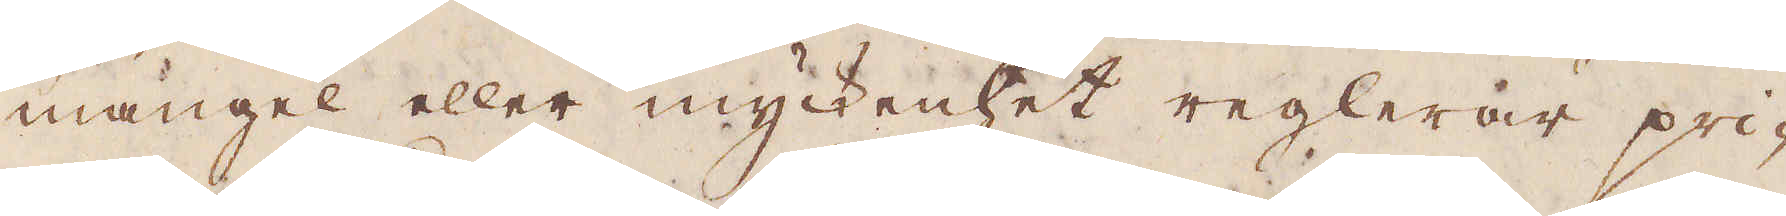mangel eller myckenhet reglerar pri-
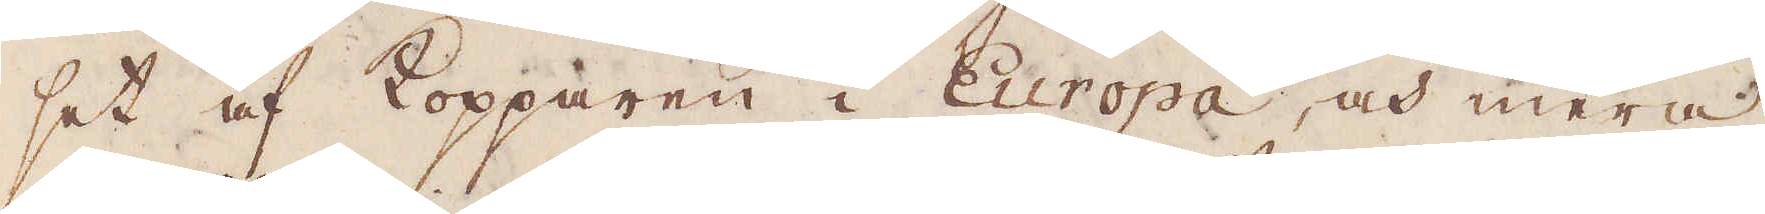set af Kopparen i Europa, och mera
